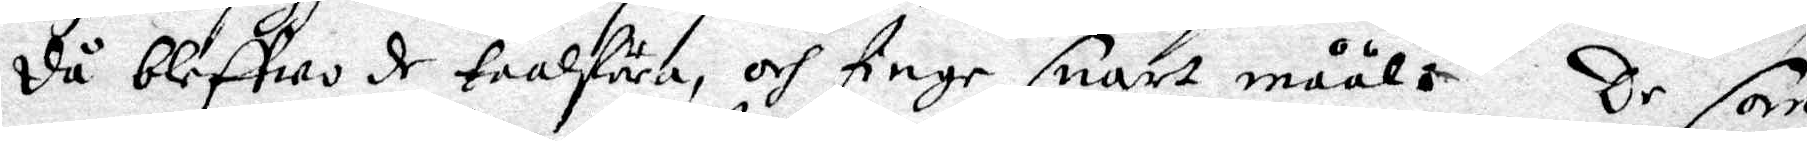då bleffwo de taalföra, och finge snart måål. De som
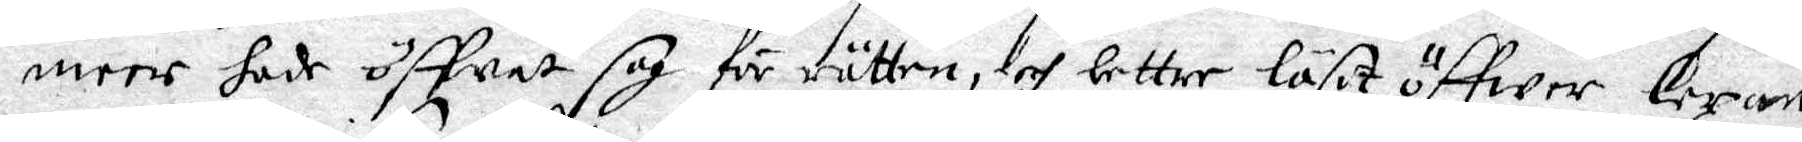meere hade öffvat sig för rätten, och bettre läst öffwer lexan,
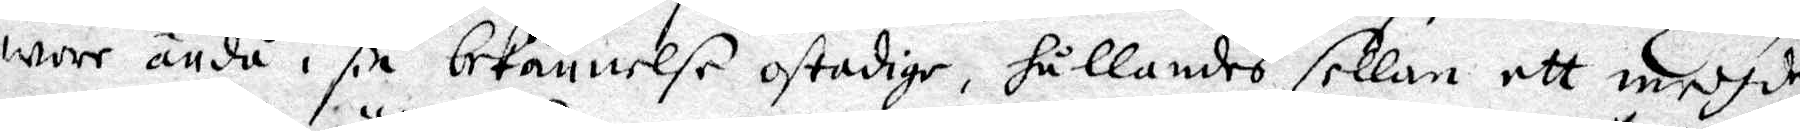wore ändå i sin bekännelse ostadige, hållandes sellan ett medh det
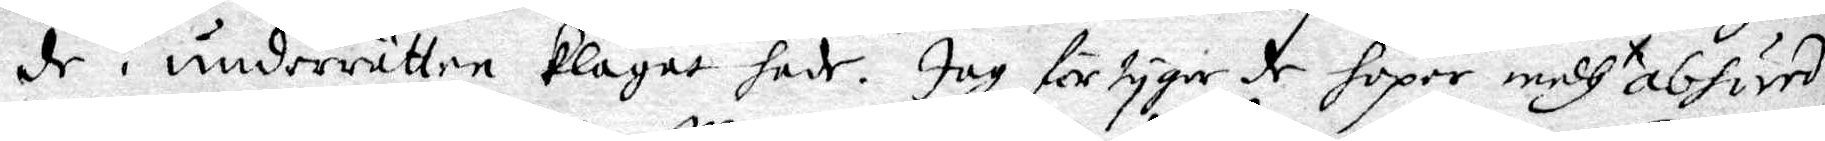de i underrätten klagat hade. Jag förtygar de hopar medh abhörd
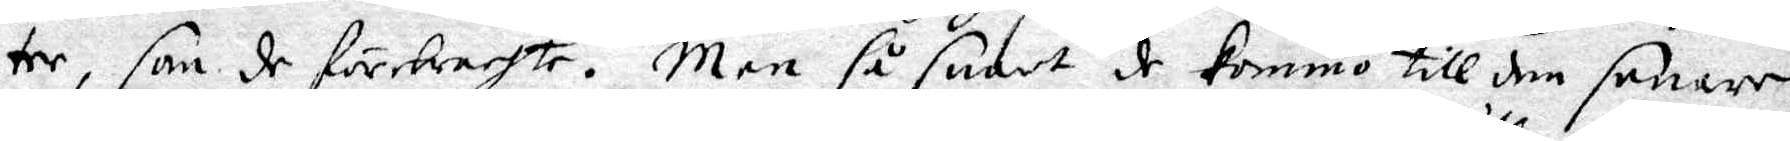tee, som de förebrachte. Men så snart de kommo till den senare
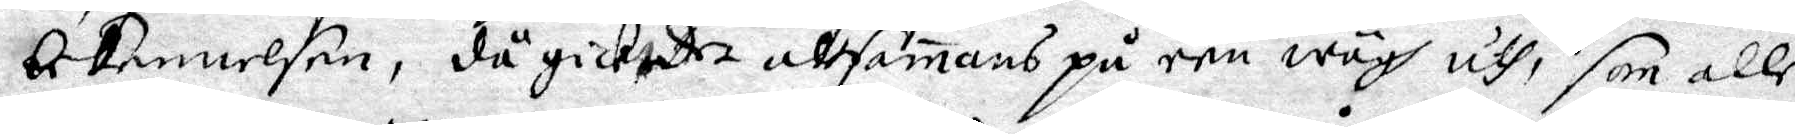bekennelsen, då gick det alesamans på een wägh uth, som alle
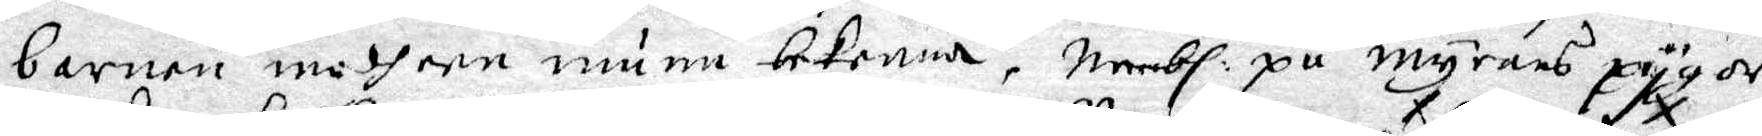barnen medh een munn bekenna, Nembl: på myrans pygor,
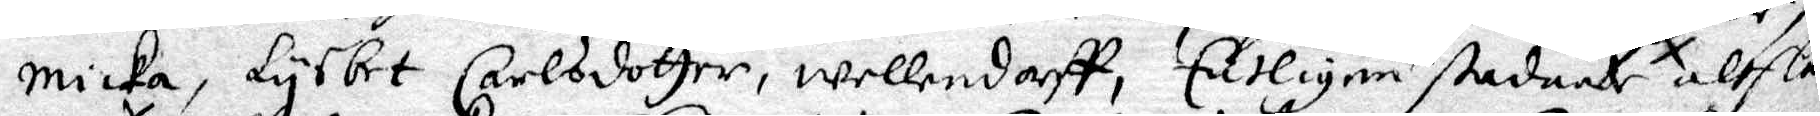Micka, Lysbet Carlsdotter, Wellendorff, Entligen stadnade altflå
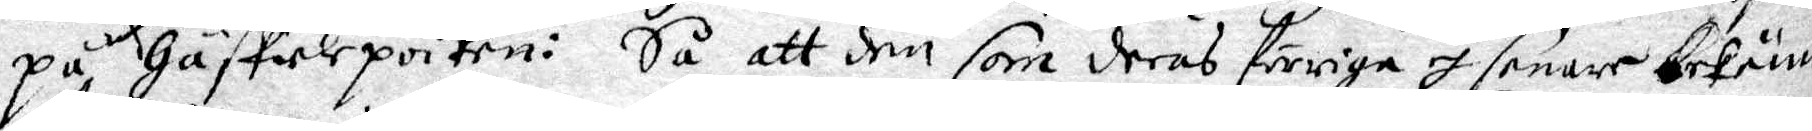på Gäffwlepoiken: Så att den som deras förriga I senare bekännel
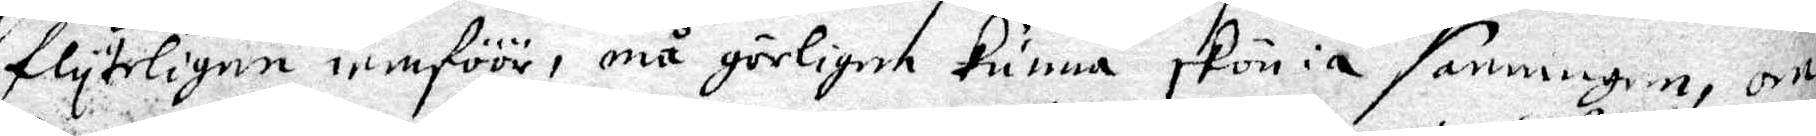flyteligen iemföör, må görligen kunna skönia sanningen, om
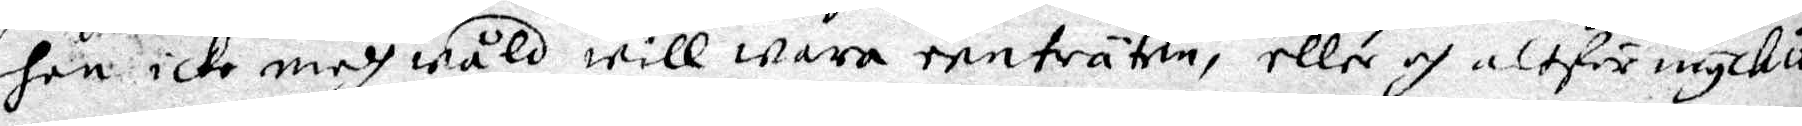han icke medh wåld will wara renträten, eller och altför myckit
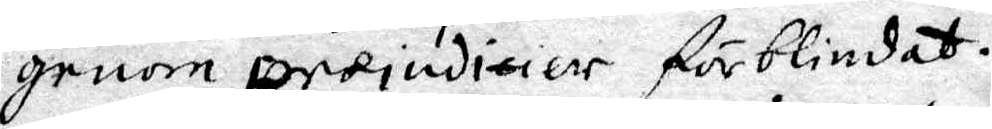genom prajuditier förblindat.
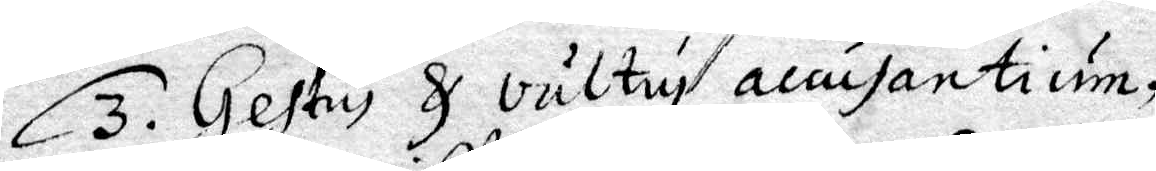3. Gestus & vältuj accusantium,
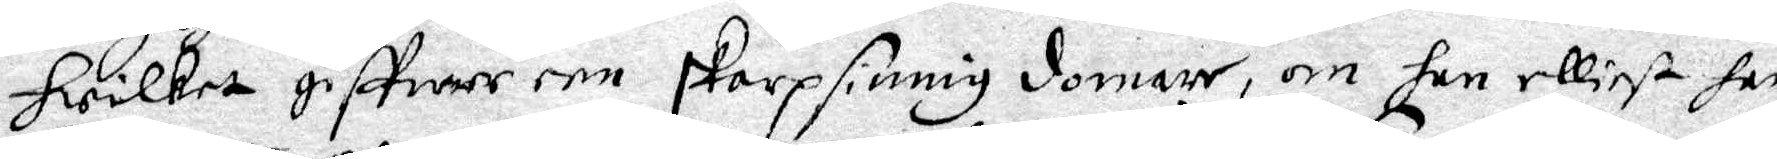hwilket giffwer een skarpsinnig domare, om han elliest har
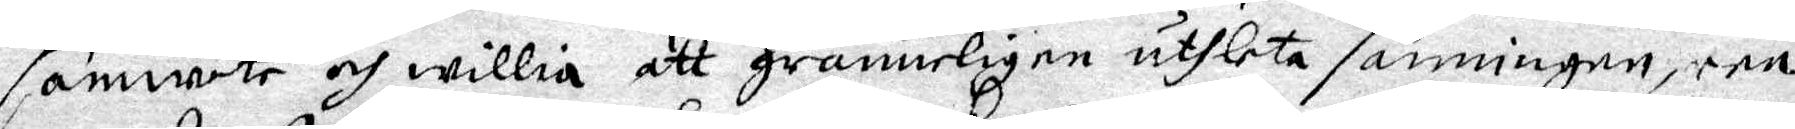samwete och willia att granneligen uthleta sanningen, een
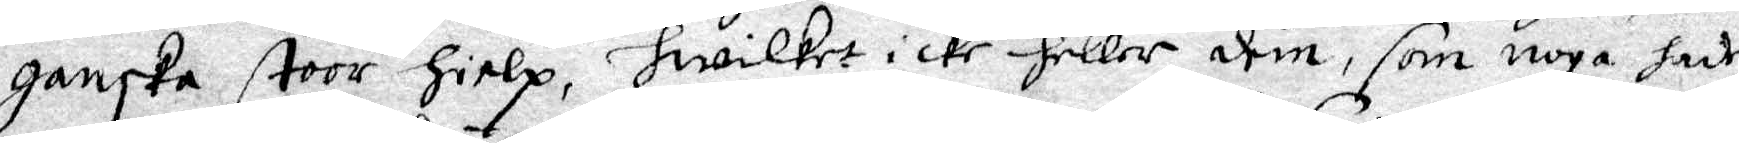ganska stoor hielp, hwilket icke heller dem, som noga hade
